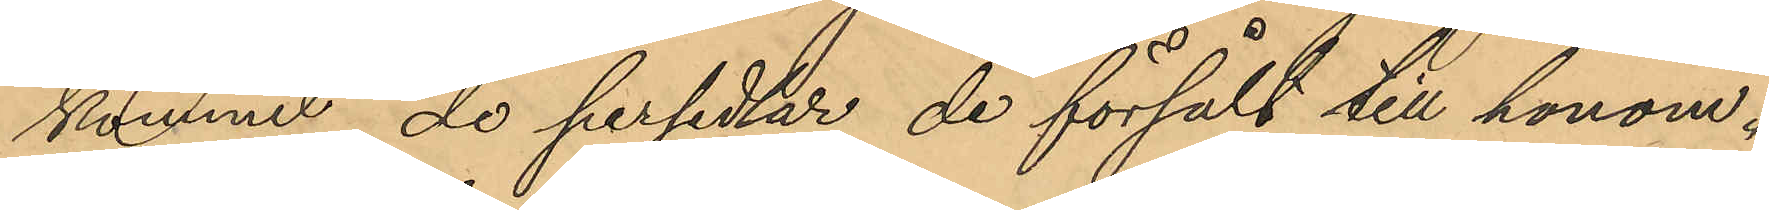kommit de persedlar de försålt till honom.
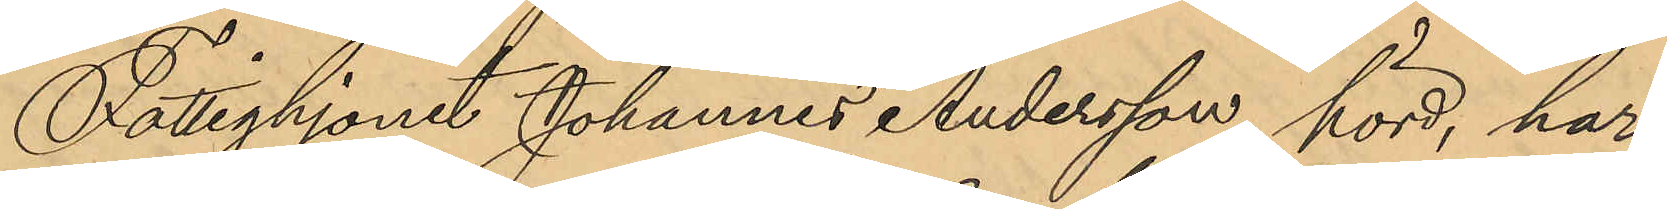Fattighjonet Johannes Andersson, hörd, har
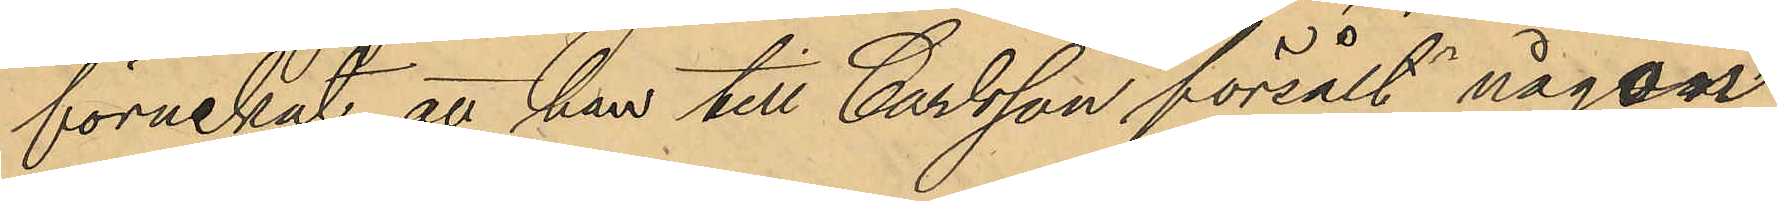förnekat att han till Carlsson försålt någon
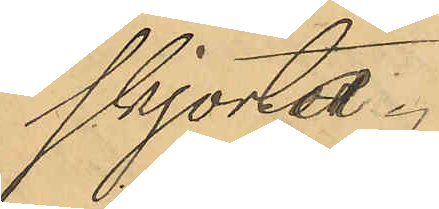skjorta.
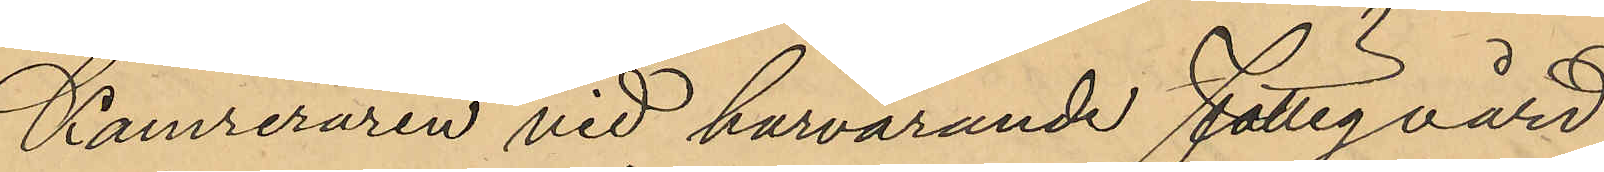Kamreraren vid härvarande Fattigvård
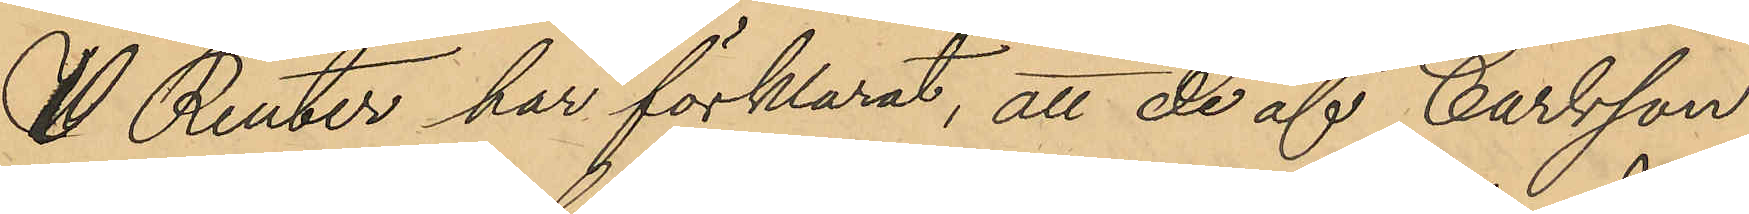V. Renter har förklarat, att de af Carlsson
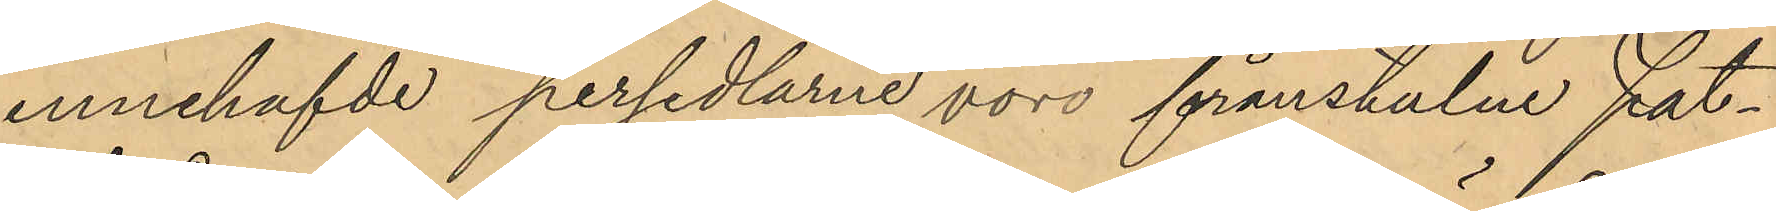innehafvde persedlarne voro frånstulne Fat¬
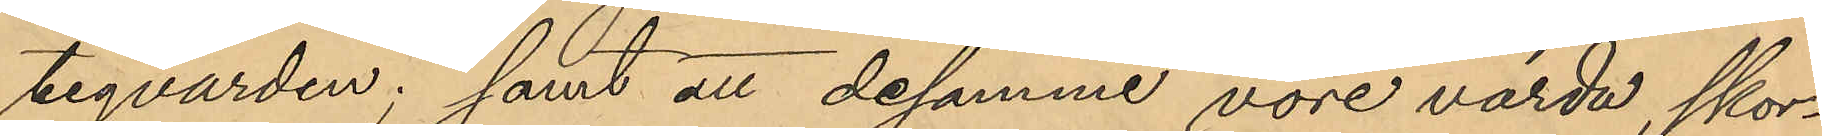tigvården; samt att desamme vore värda, skor¬
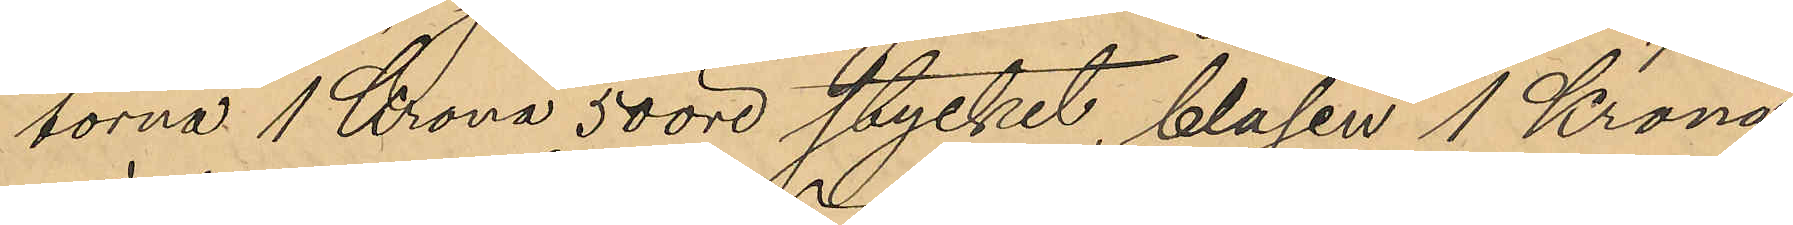torna 1 Krona 50 öre stycket, blasen 1 Krona,
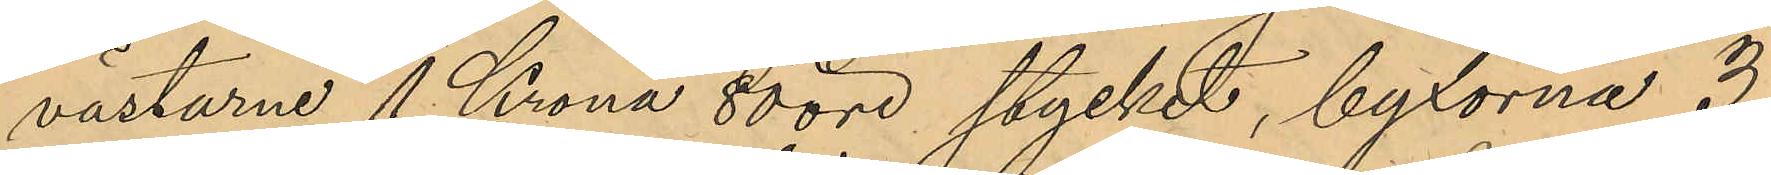västarne 1 Krona 80 öre, stycket, byxorna 3
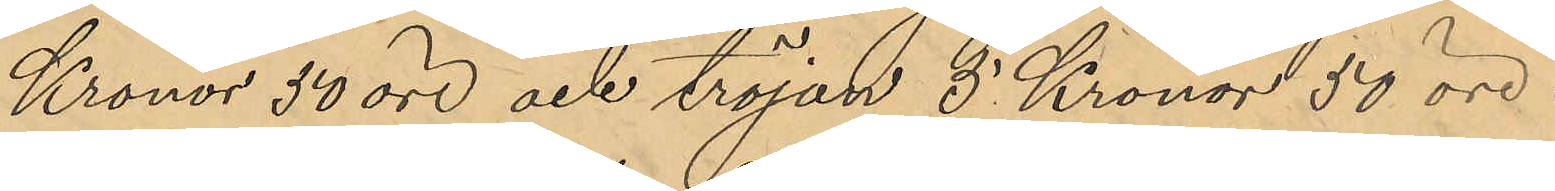Kronor 50 öre och tröjan 5 Kronor 50 öre.
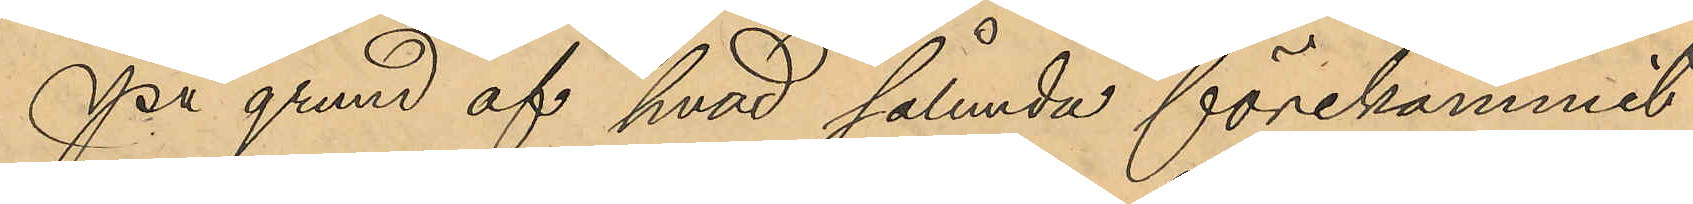På grund af hvad sålunda förekommit
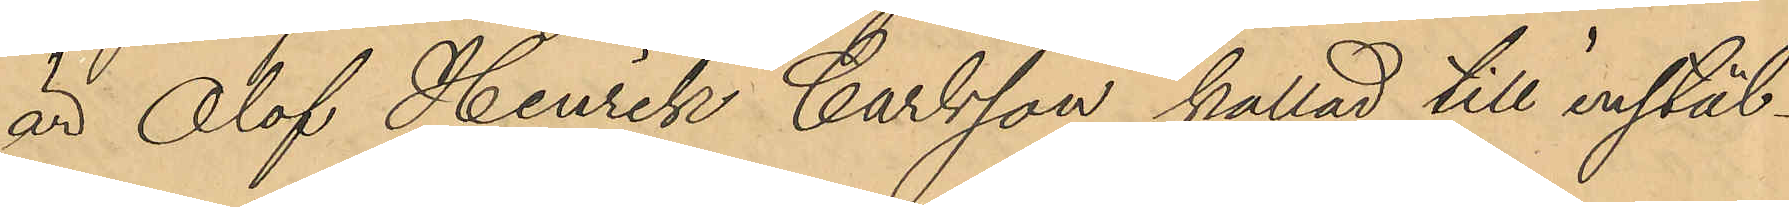är Olof Henrik Carlsson kallad till instäl¬
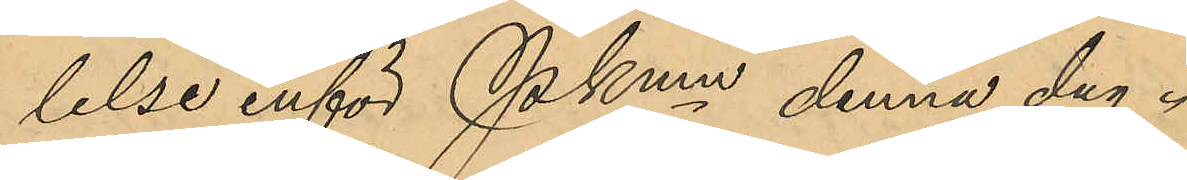lelse inför Pkmn denna dag.
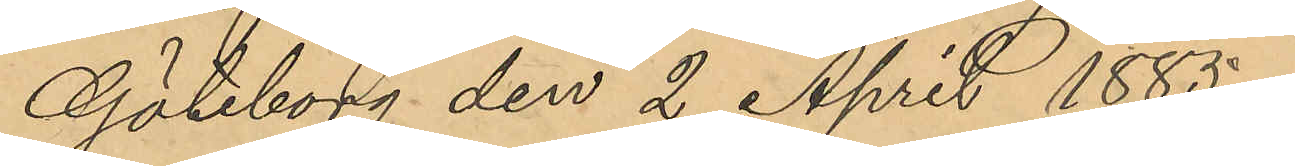Göteborg den 2 April 1885.
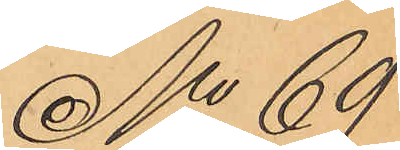No 69
